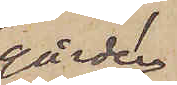gården
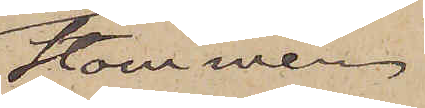Stommen
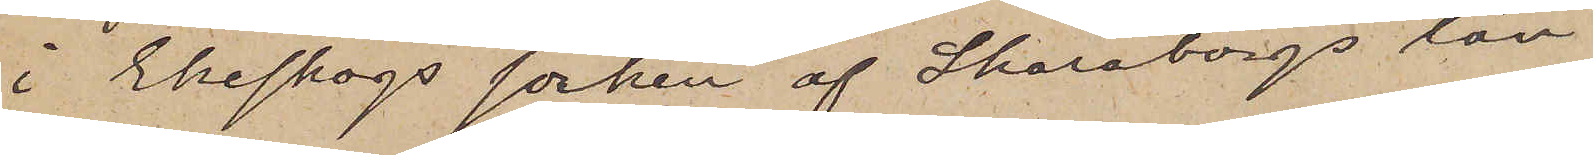i Ekeskogs socken af Skaraborgs län,
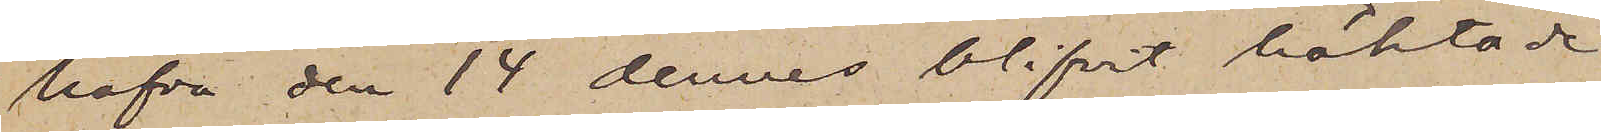hafva den 14 dennes blifvit häktade
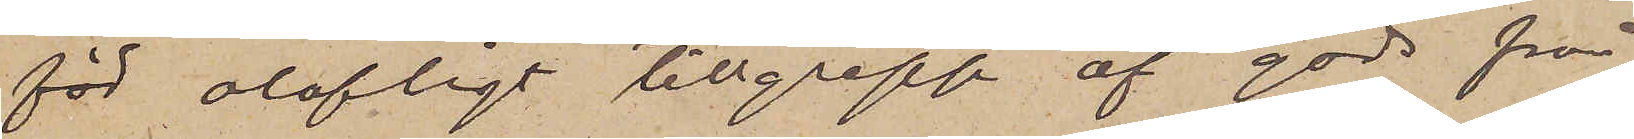för olofligt tillgrepp af gods från
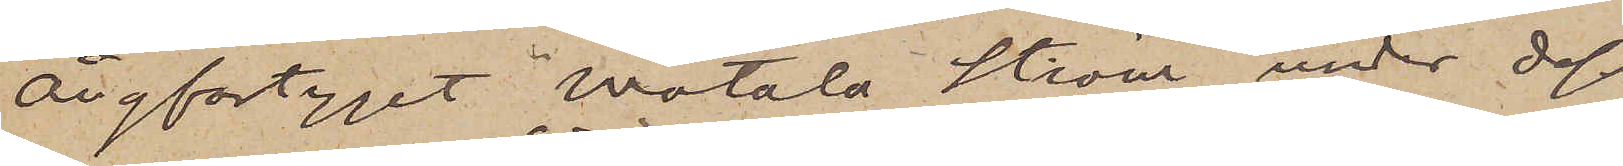Ångfartyget "Motala Ström" under dess
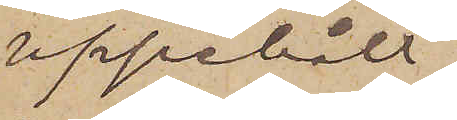uppehåll
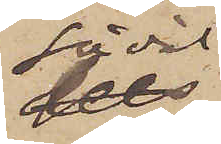såväl
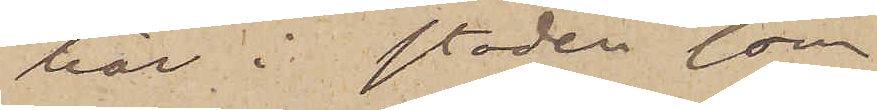här i staden som
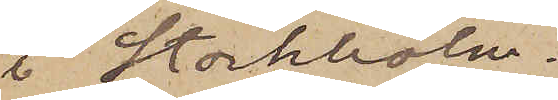i Stockholm.
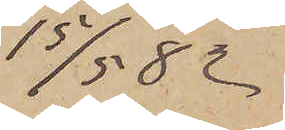15/5  82
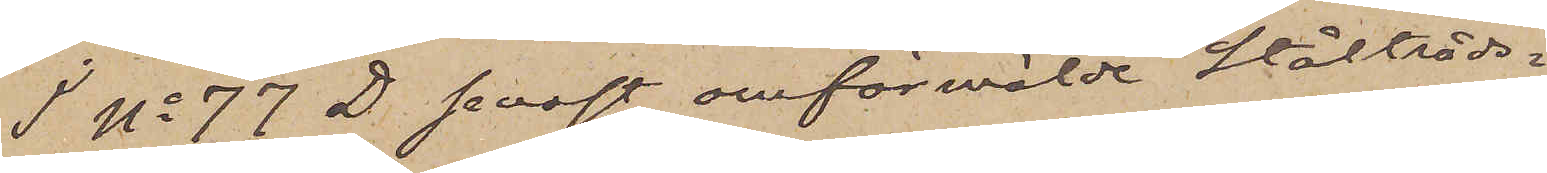I No 77 D senast omförmälde ståltråds¬
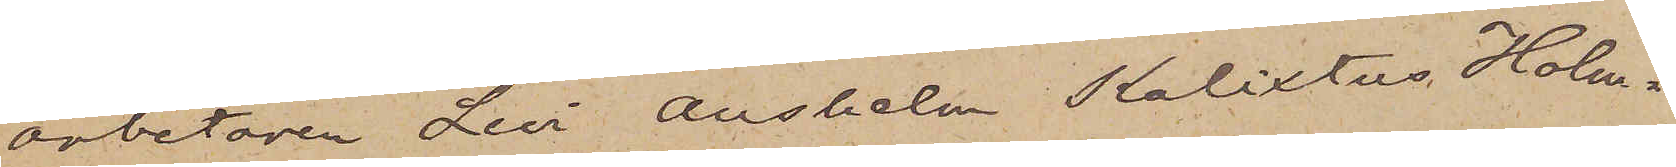arbetaren Levi Anselm Kalixtus Holm¬
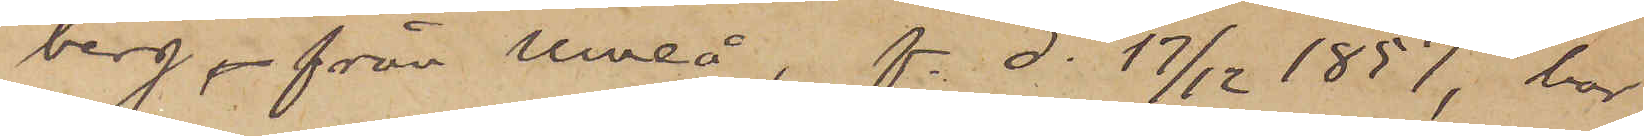berg från Umeå, f. d. 17/4 1857, har
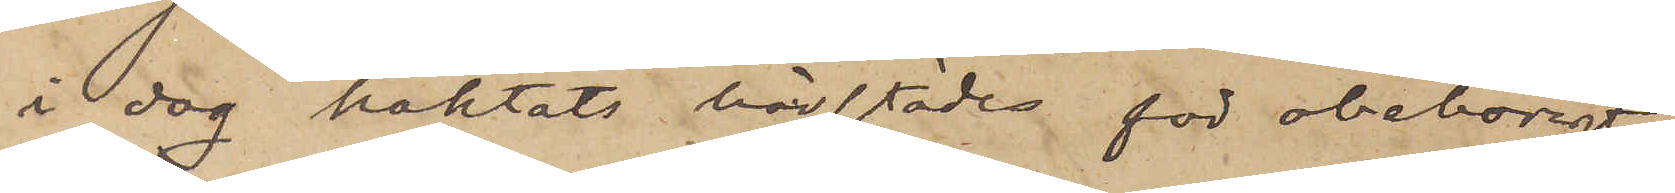i dag häktats härstädes för obehörigt
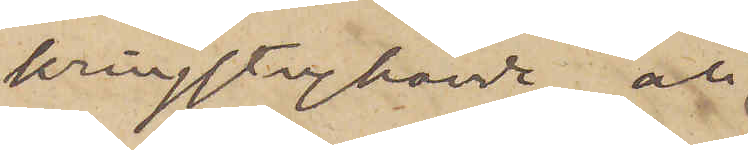kringstrykande och
